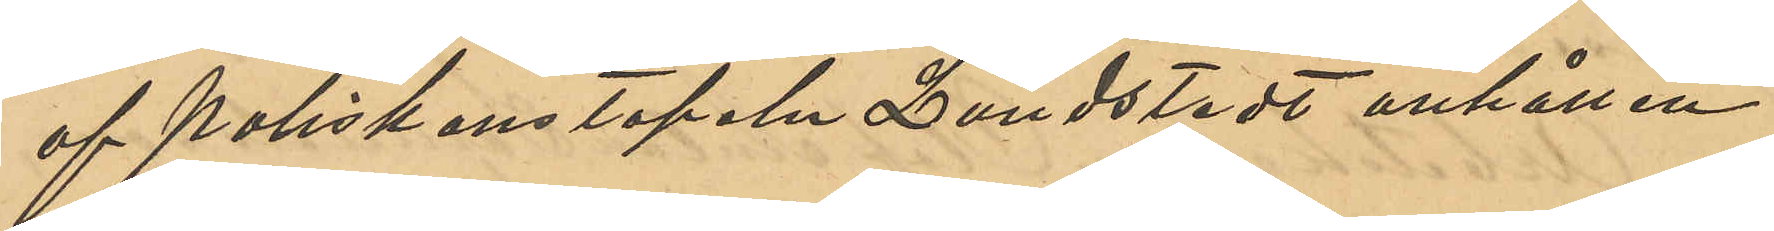af poliskonstapeln Lundstedt anhållen.
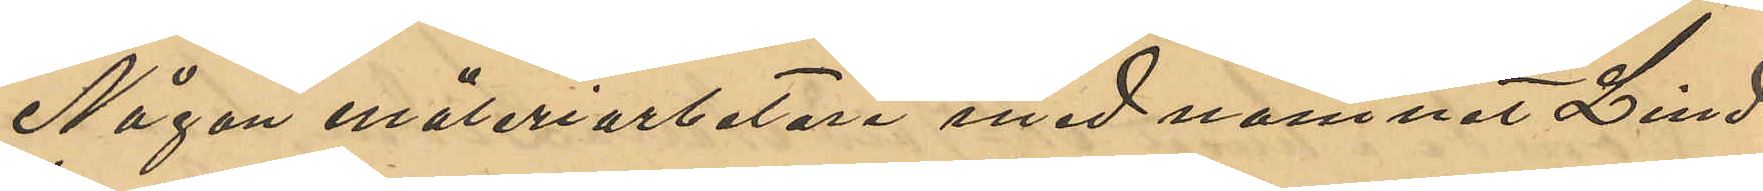Någon måleriarbetare med namnet Lind¬
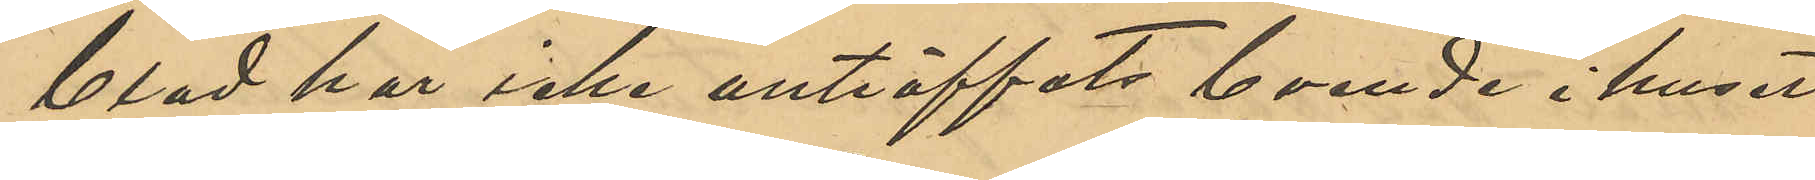blad har icke anträffats boende i huset
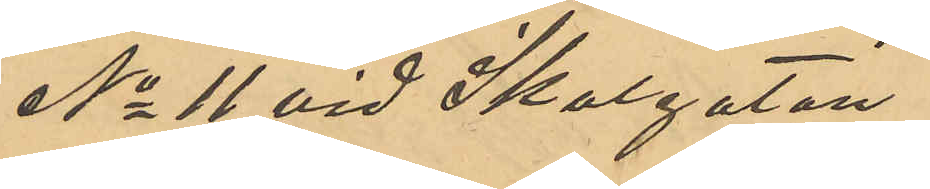No 11 vid Skolgatan.
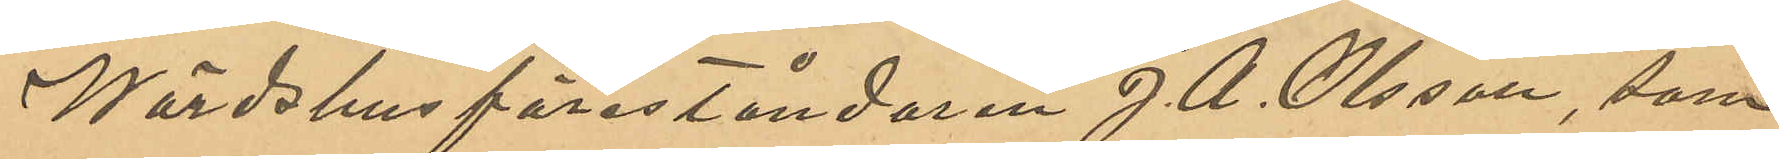Wärdshusföreståndaren J. A. Olsson, som
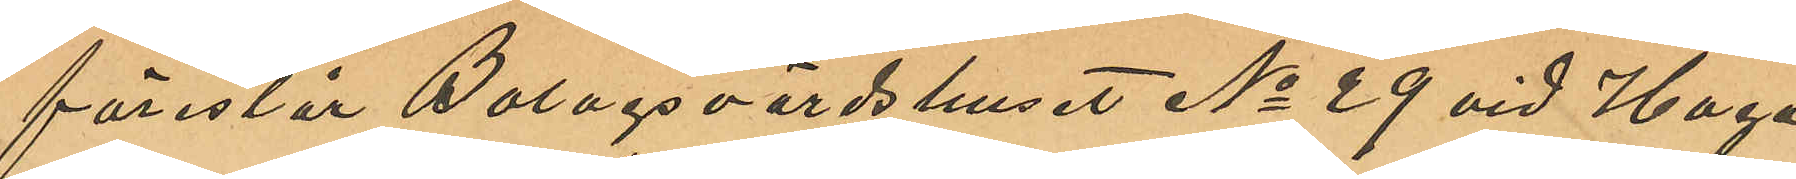förestår Bolagsvärdshuset No 29 vid Haga
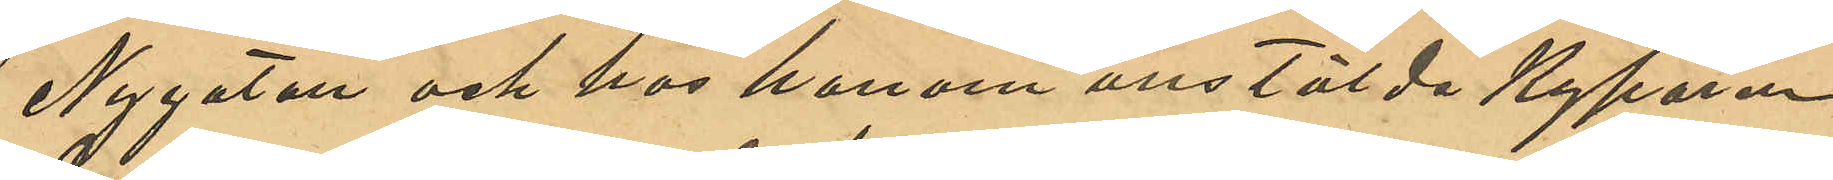Nygatan och hos honom anstälda Kyparen
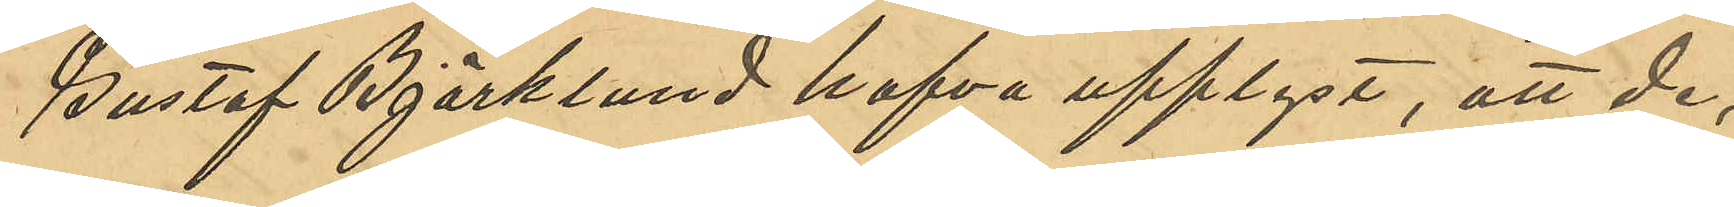Gustaf Björklund hafva upplyst, att de,
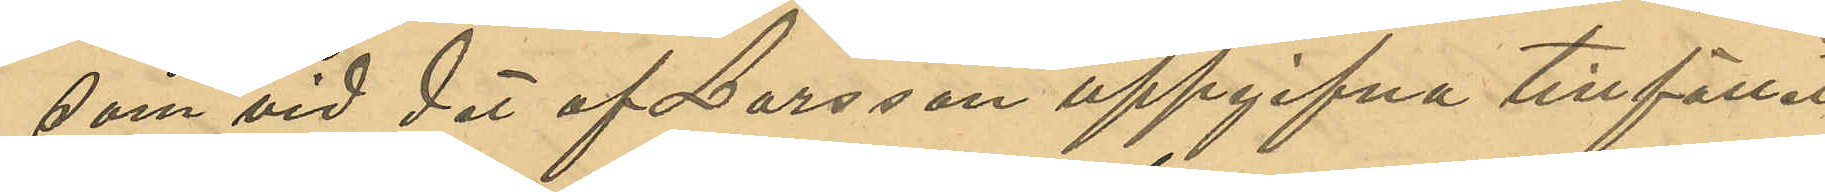som vid det af Larsson uppgifvna tillfället
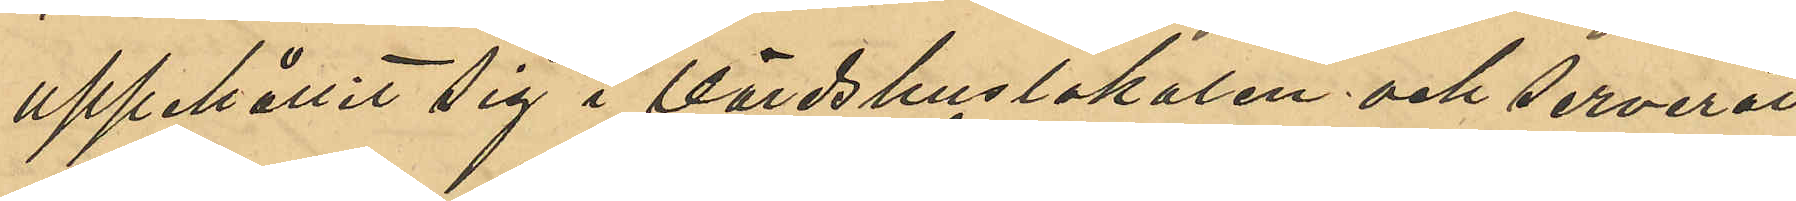uppehållit sig i Värdshuslokalen och serverat
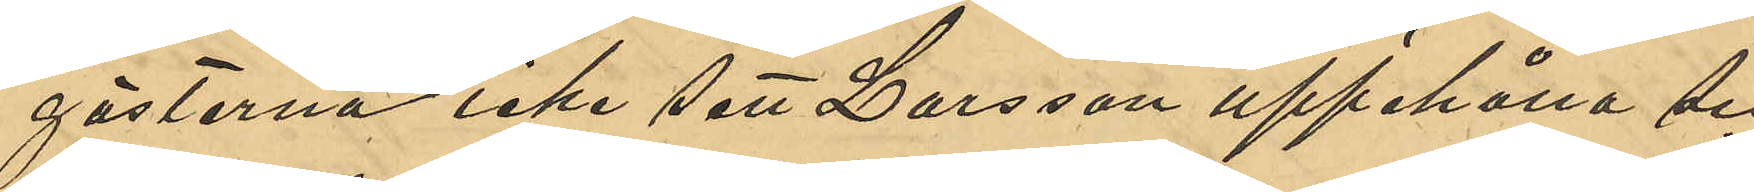gästerna, icke sett Larsson uppehålla sig
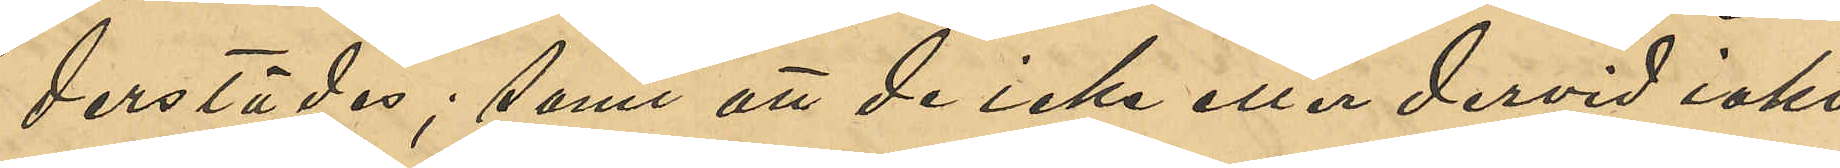derstädes; samt att de icke eller dervid iakt¬
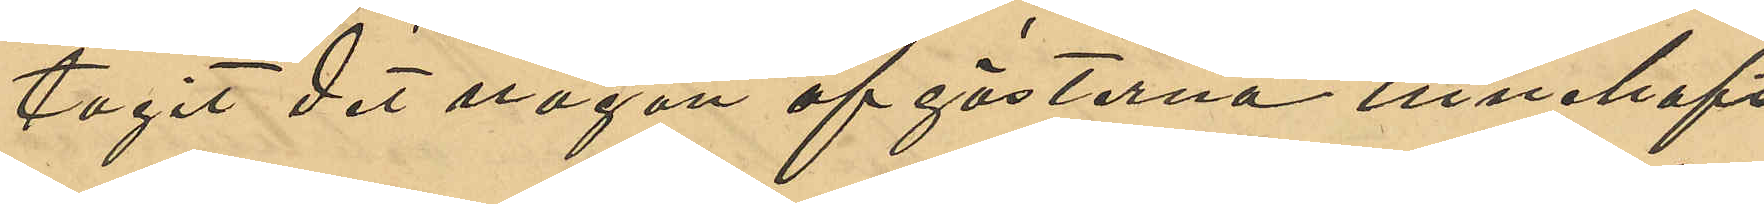tagit det någon af gästerna innehaft
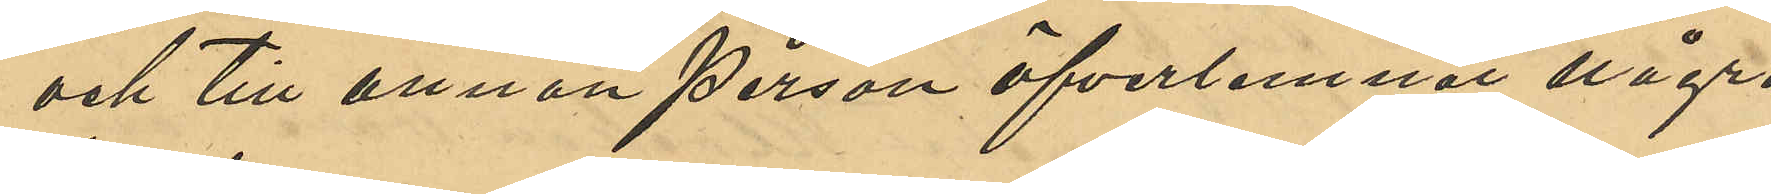och till annan person öfverlemnat några
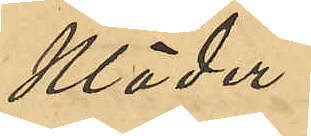kläder.
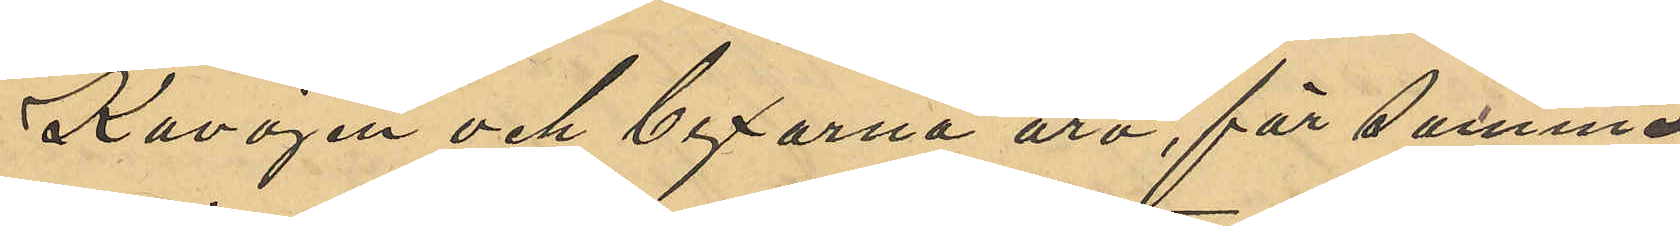Kavjaen och byxorna äro, för samma
